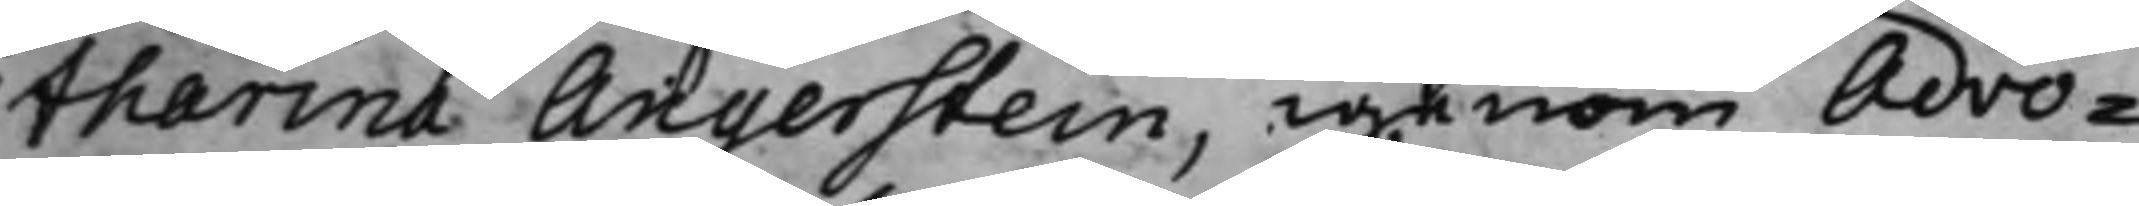tharina Angerstein, igenom Advo¬
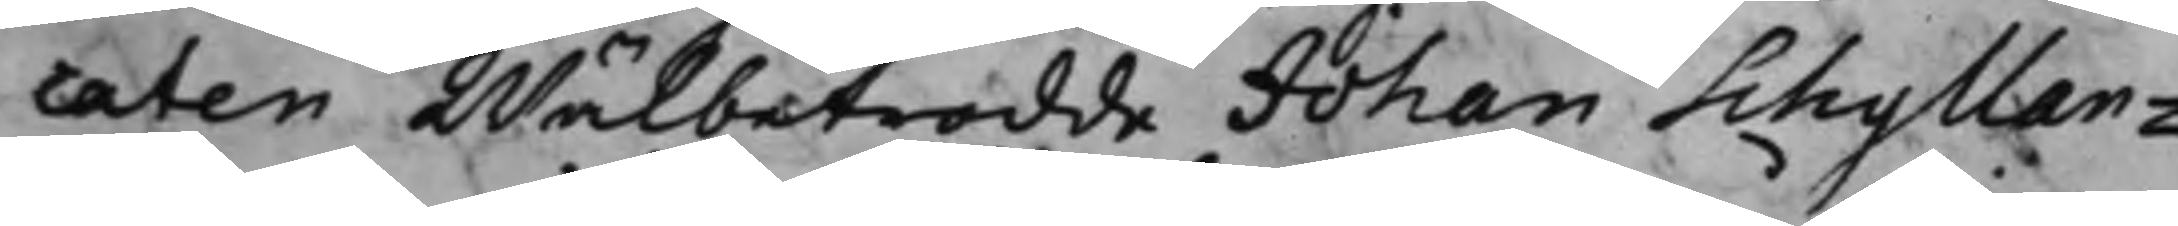caten Wälbetrodde Johan Schyllan¬
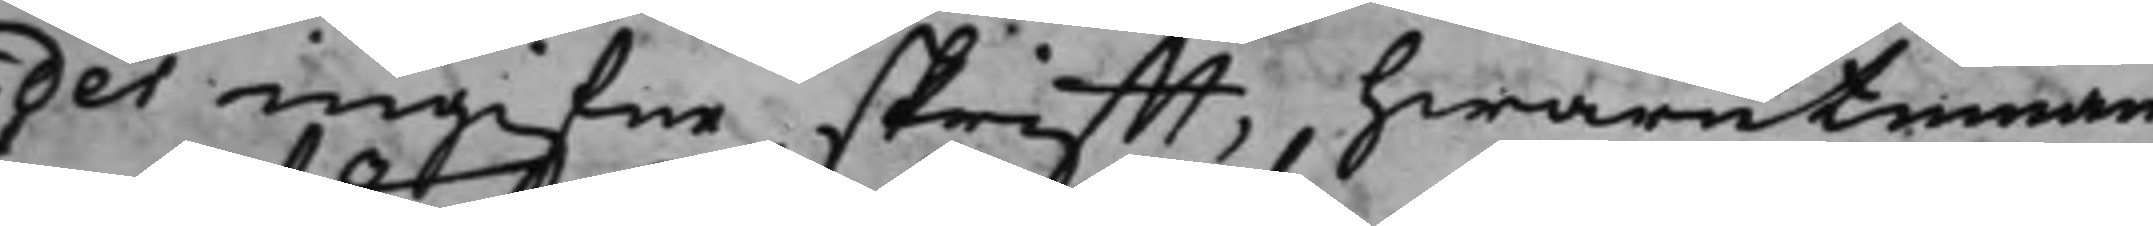des ingifne skrifft, hwarutinnan
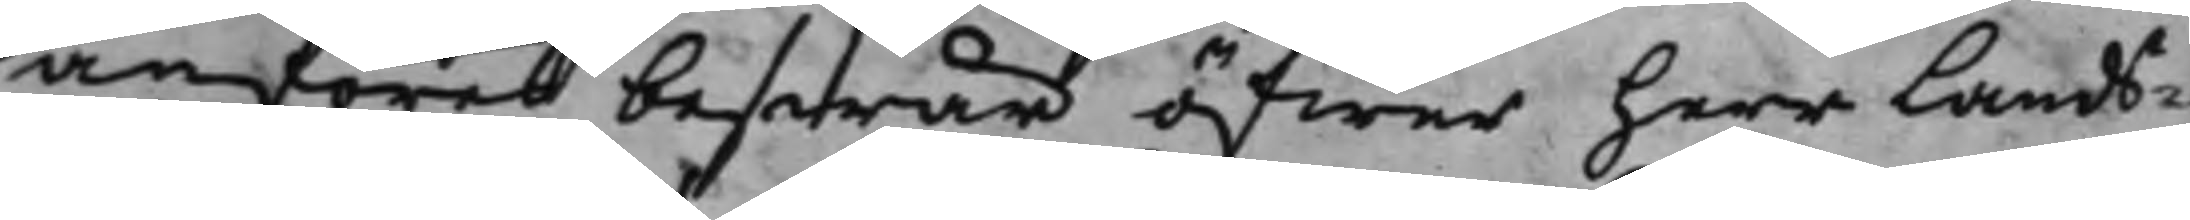anföres beswär öfwer herr Lands¬
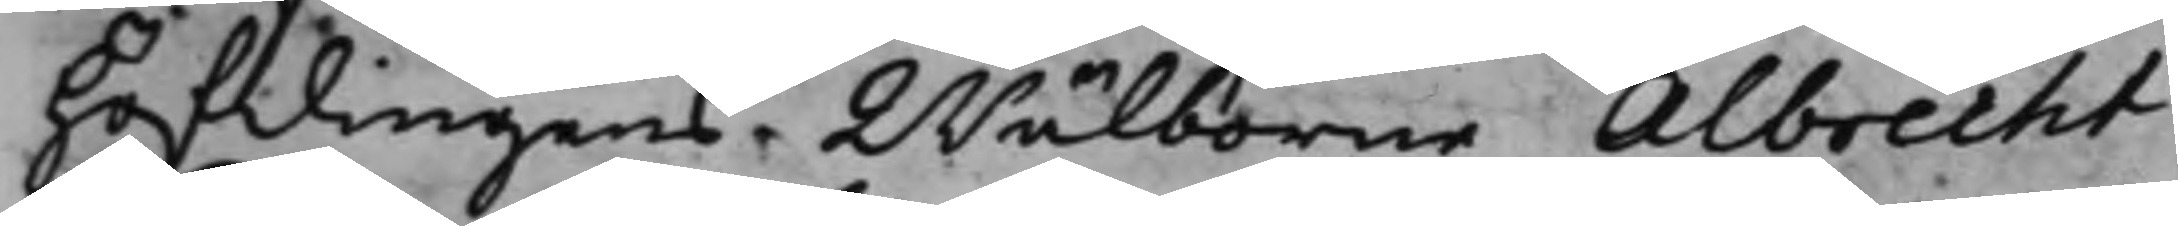höfdingens Wälborne Albrecht
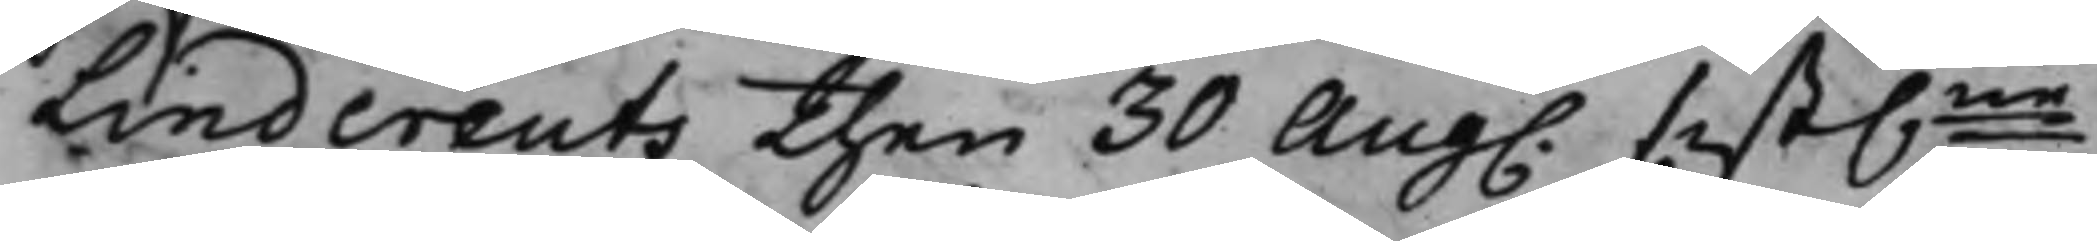Lindcreuts then 30 Aug. sist.ne
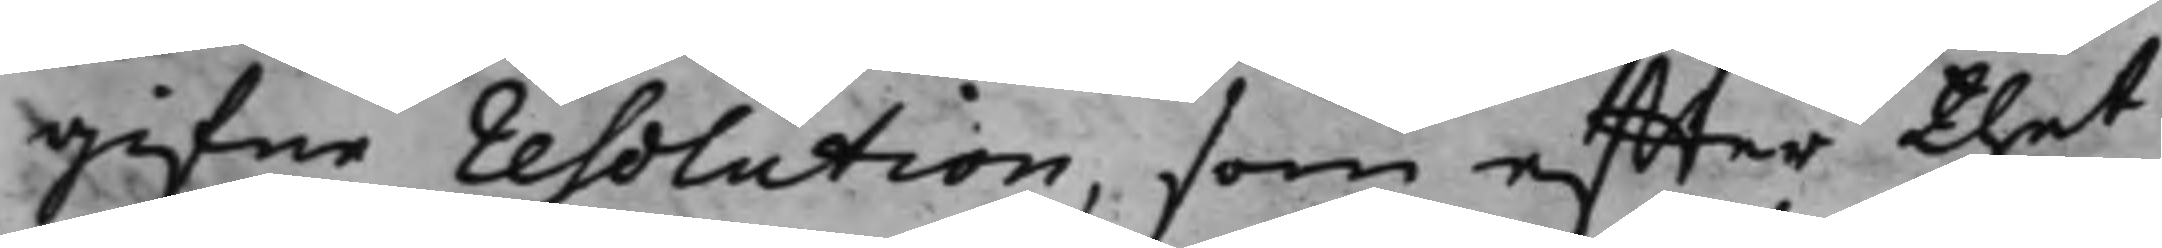gifne resolution, som effter thet
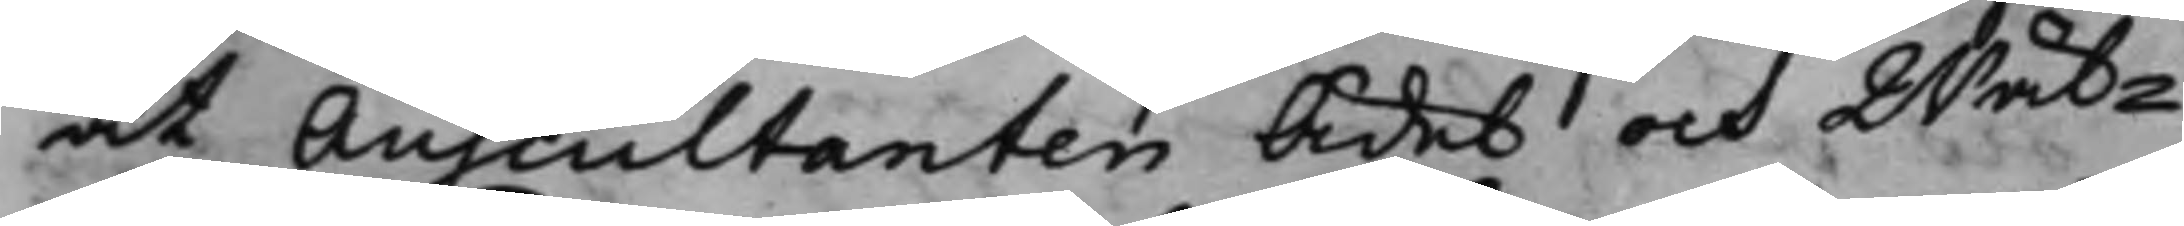at Auscultanten Ädel och Wäl¬
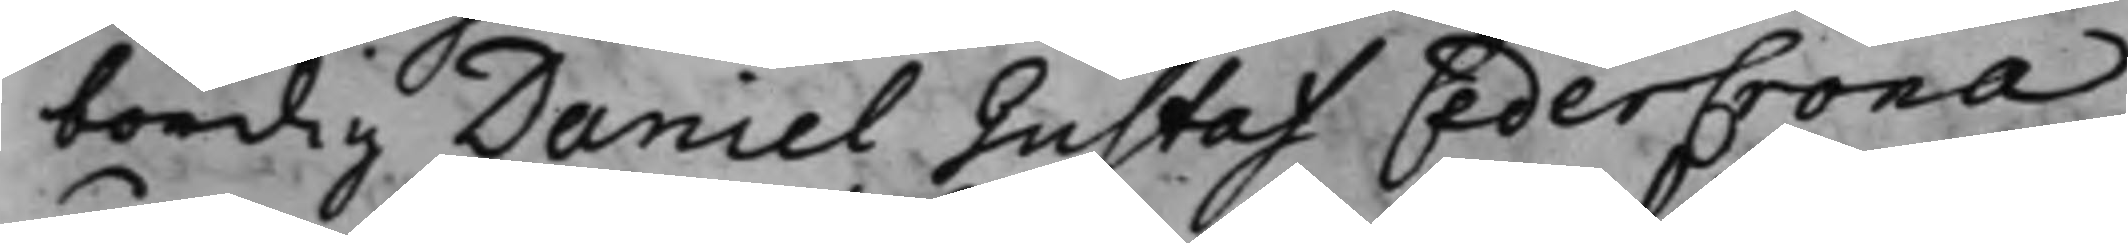bördig Daniel Gustaf CederCrona
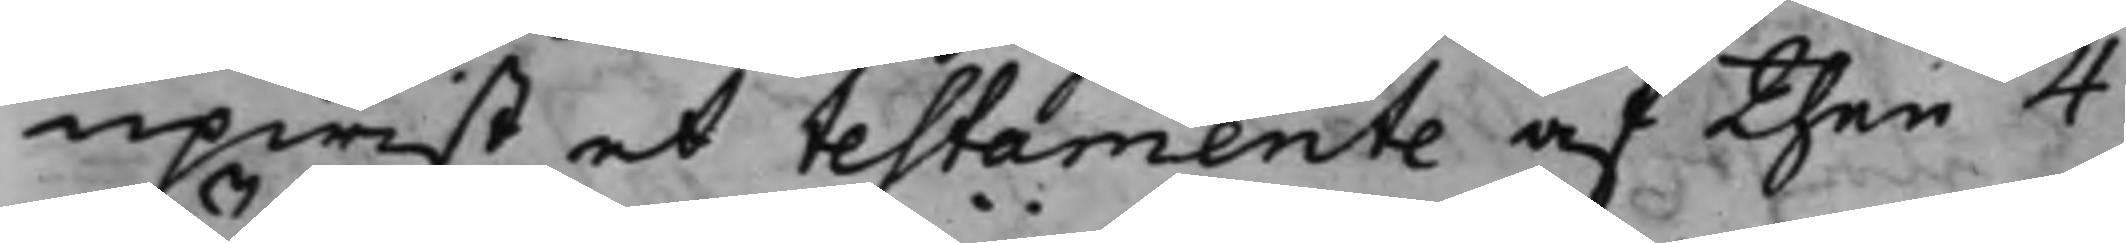upwist et testamente af then 4
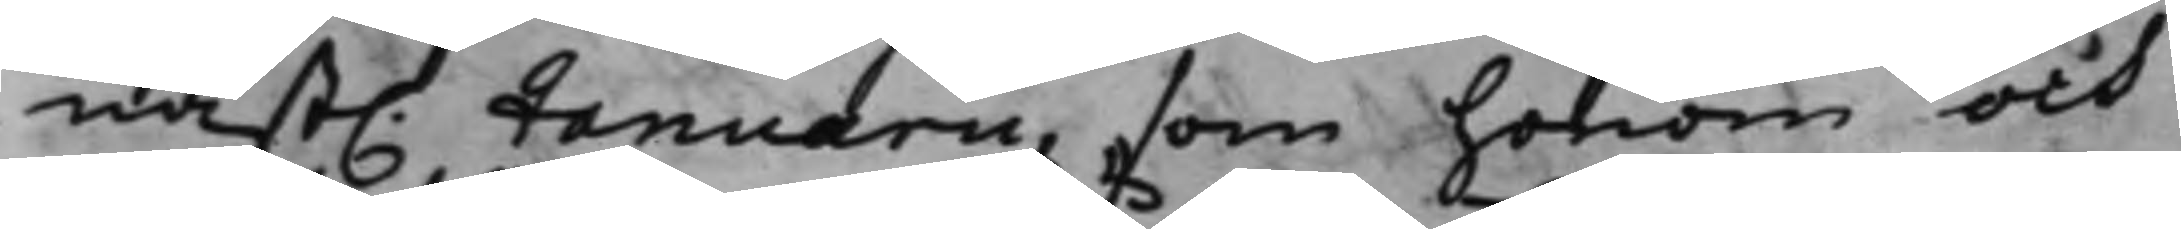näst. Januarii, som honom och
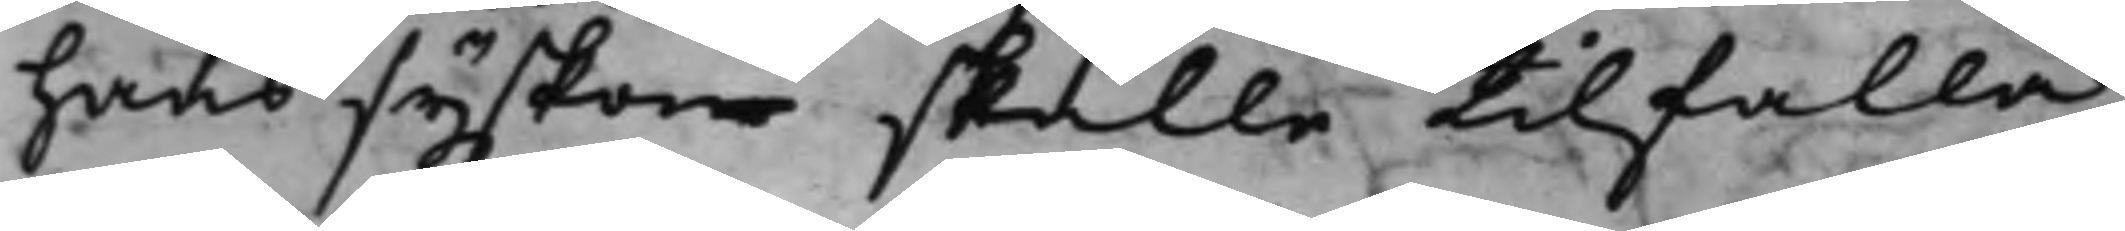hans syskon skulle tillfalla
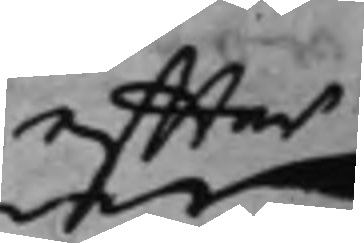effter
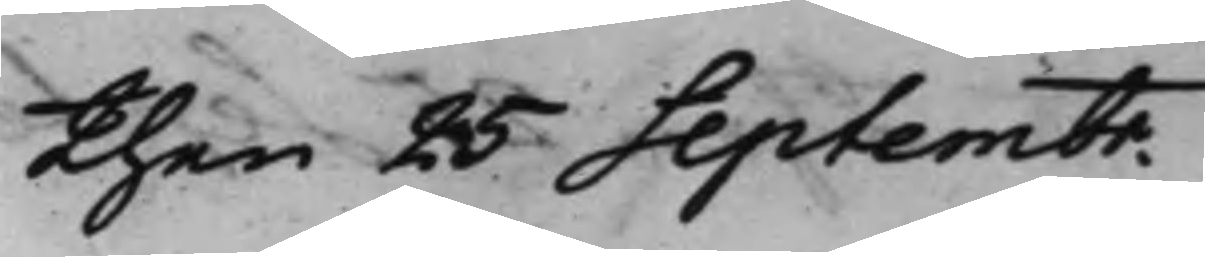then 25 Septembr.
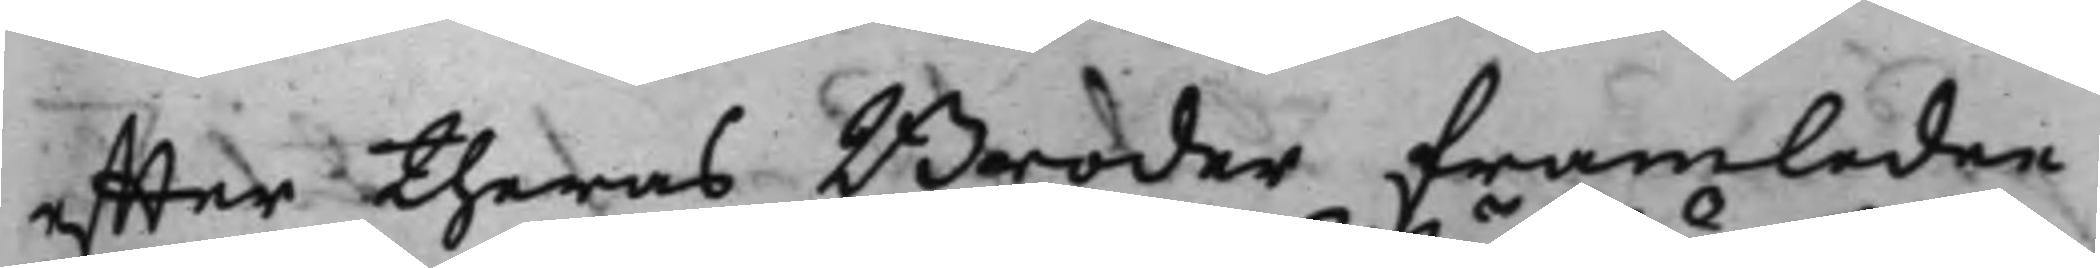effter theras Broder framledne
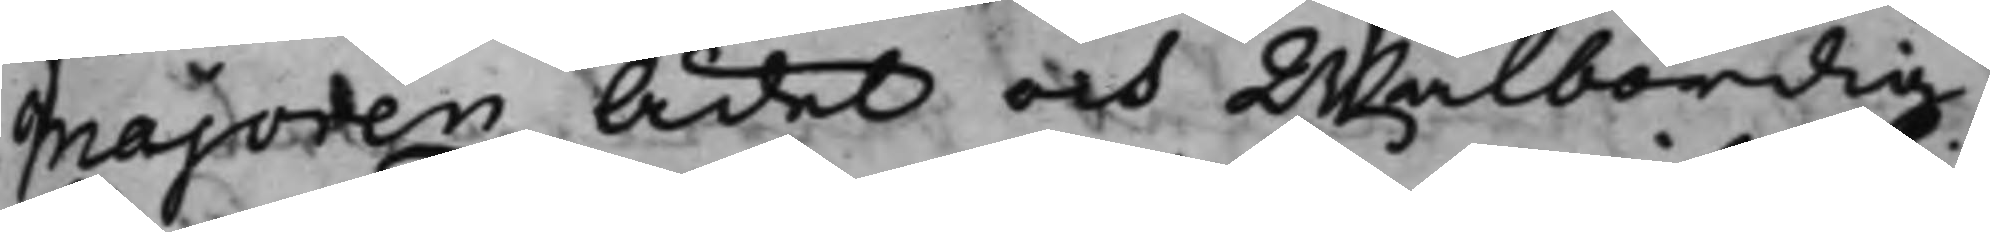Majoren Ädel och Wälbördig
